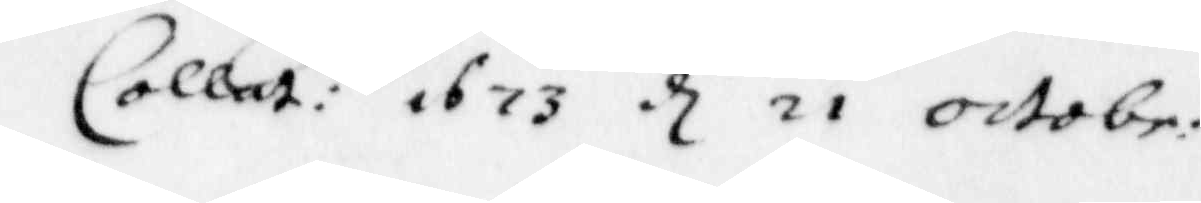Collat: 1673 d 21 octobr.
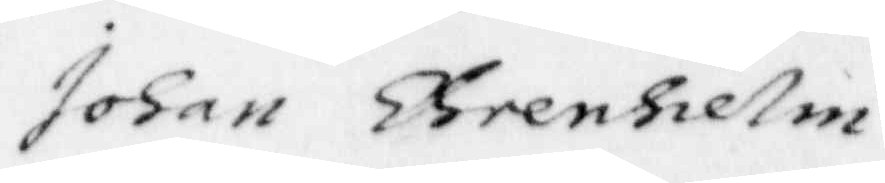Johan Ehrenhielm
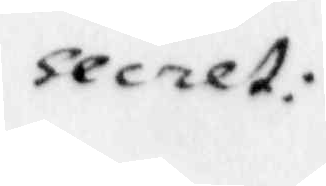secret:
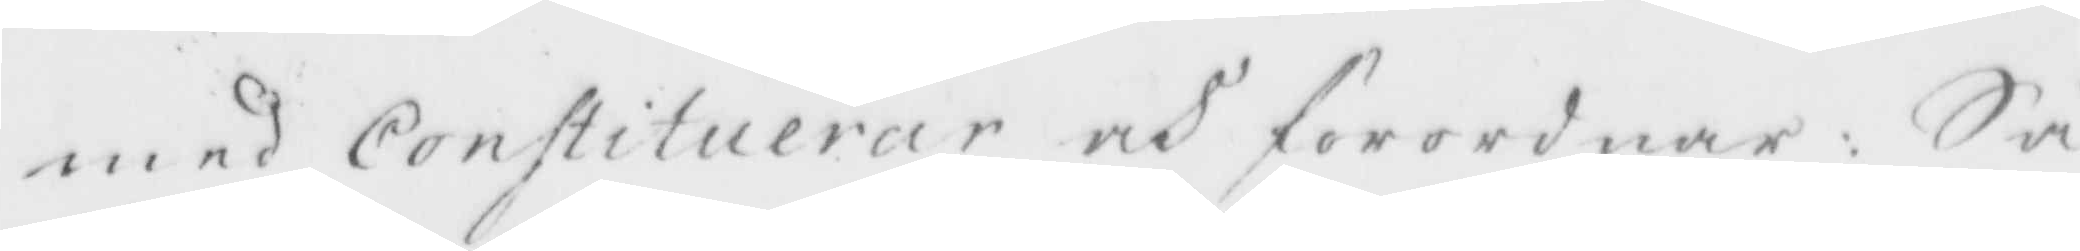med Constituerar och förordnar: Så
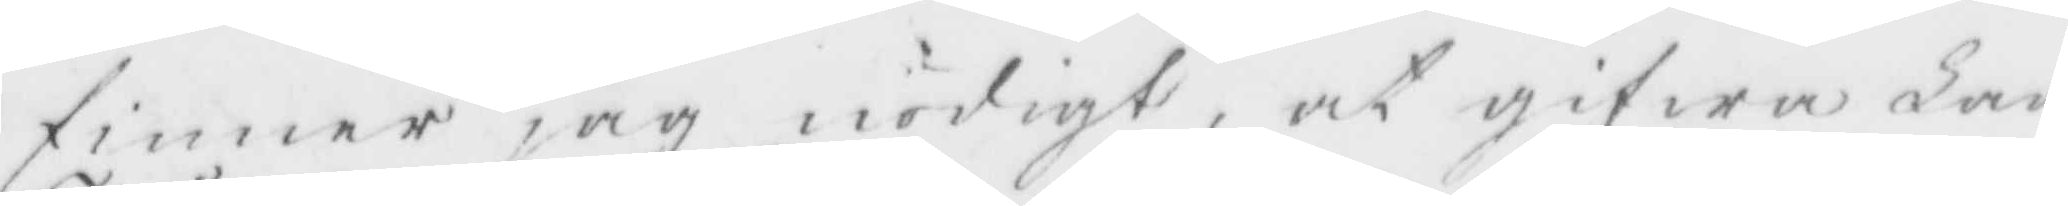finner jag nödigt, at gifwa Lan¬
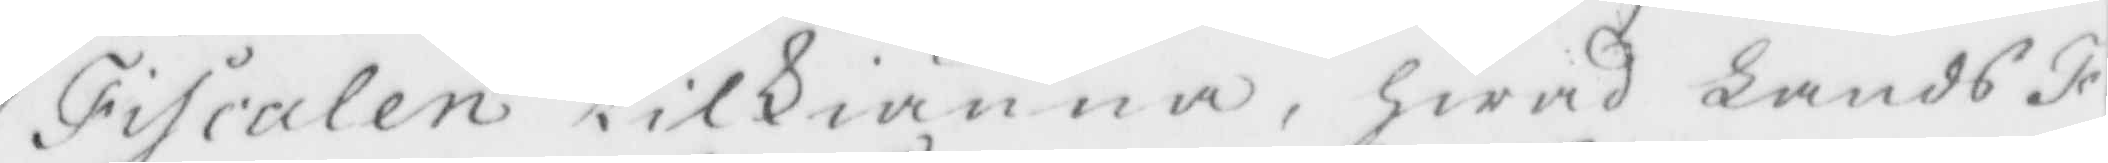Fiscaleb tilkiänna, Hwad Lands Fi¬
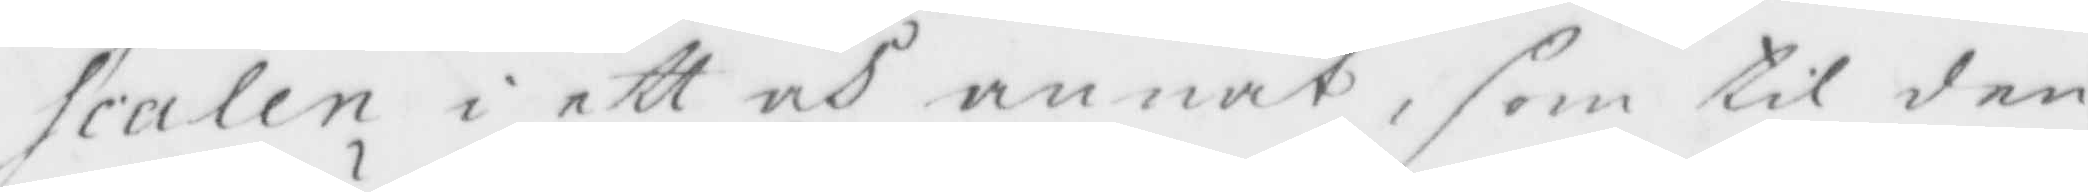scaleb i ett och annat, som til den¬
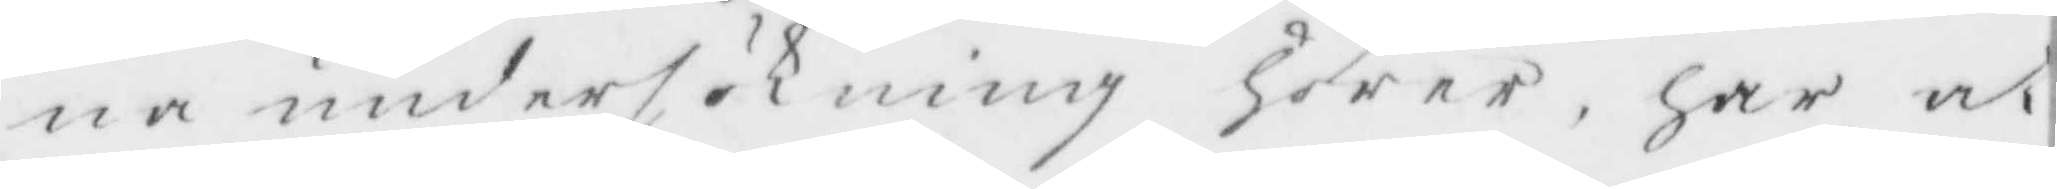na undersökning Hörer, Har at
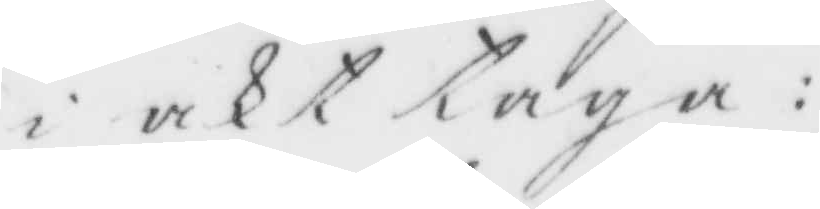i akttaga:
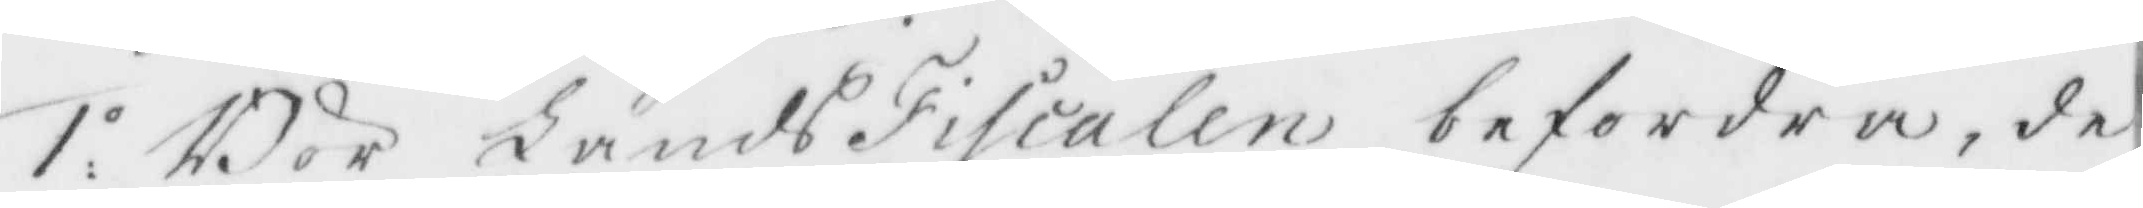1.o Bör LandsFiscaleb befordra, de¬ 
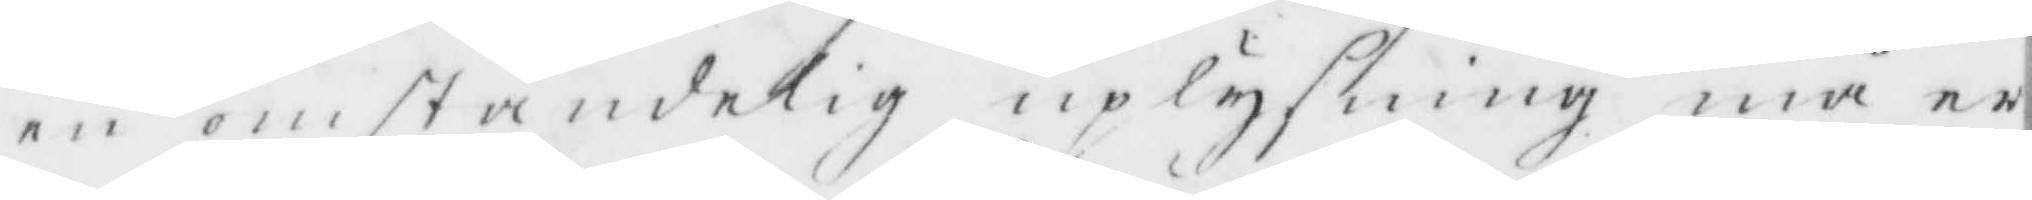en omständelig uplysning må er¬
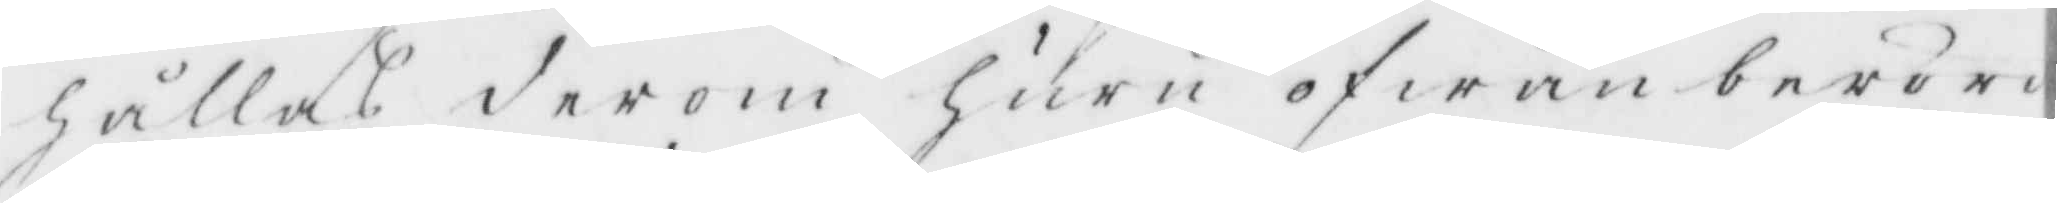Hålles derom Huru ofwan berörde
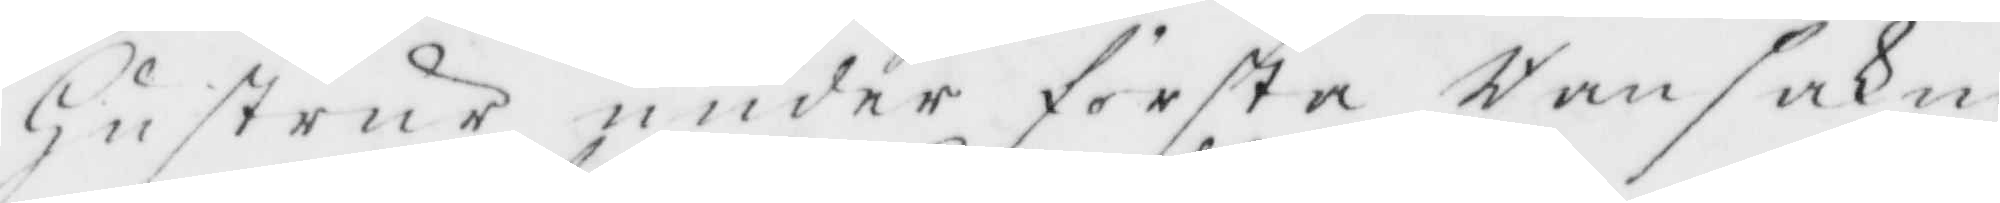Hustrur under första Ransakni¬
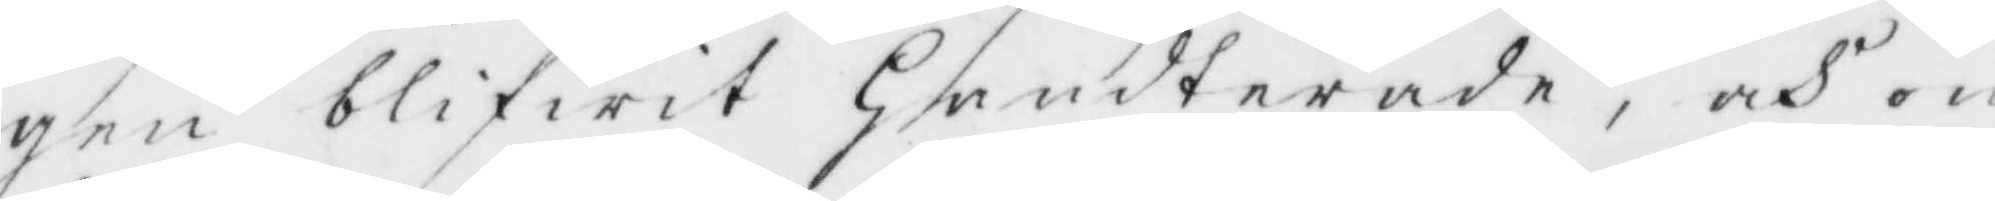gen blifwit Handterade, och en
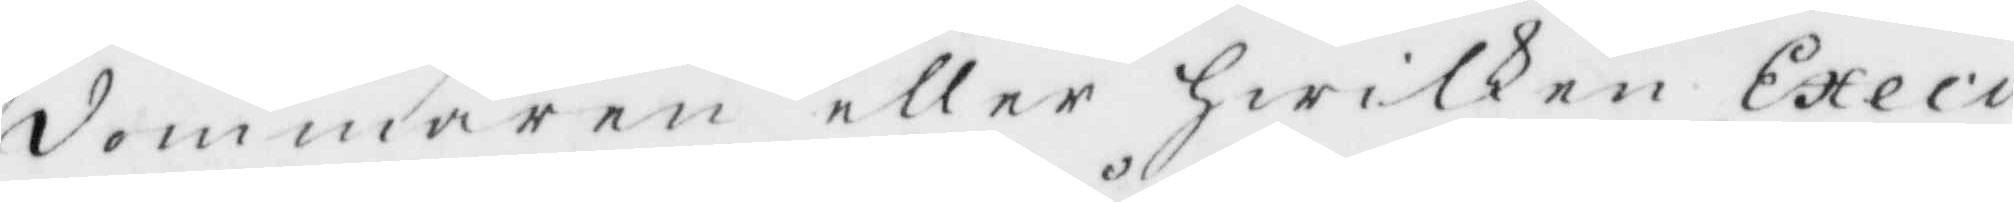dommaren eller Hwilken Execu¬
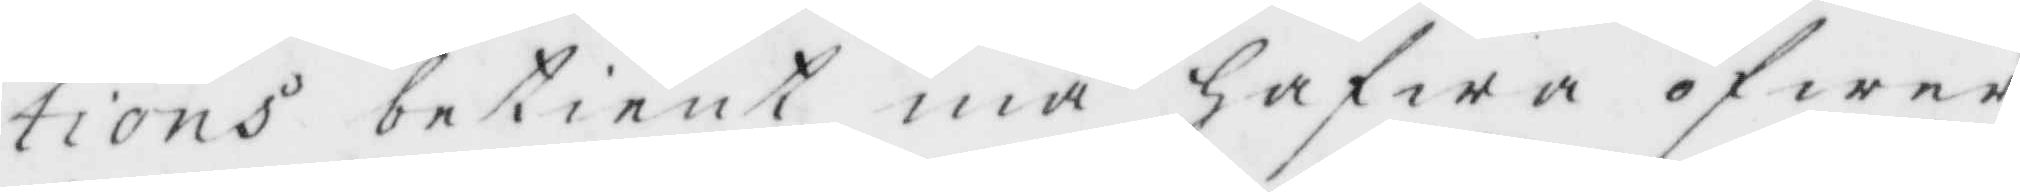tions betient må Hafwa öfwer¬
